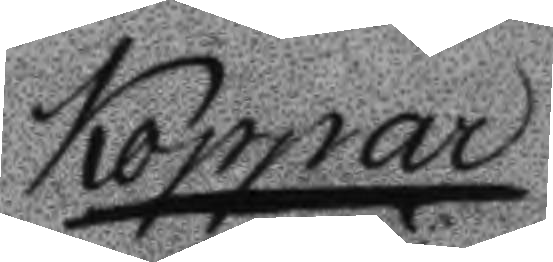Koppar
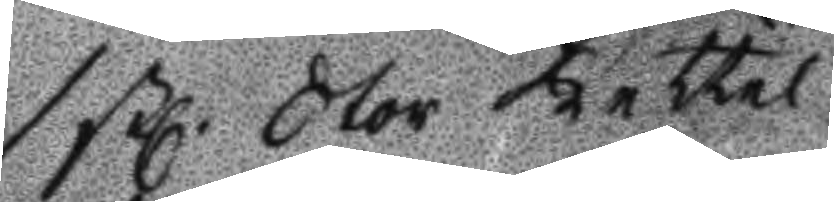1 stl Stor Kettel
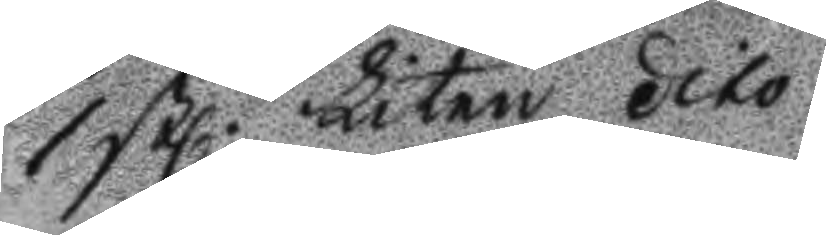1 stl Liten dito
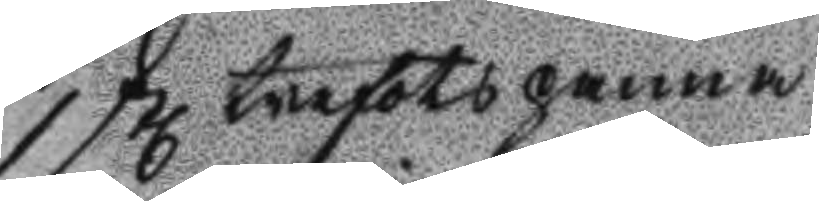1 stl trefotspanna
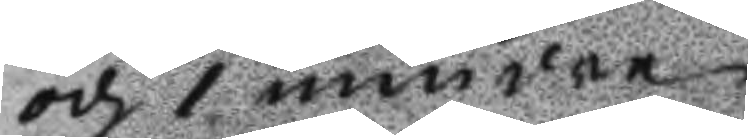och 1 mindre
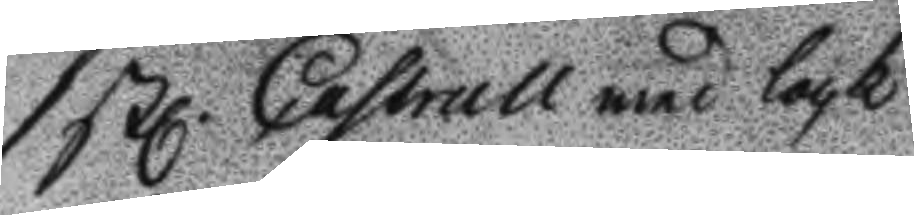1 stl Castrull med lock
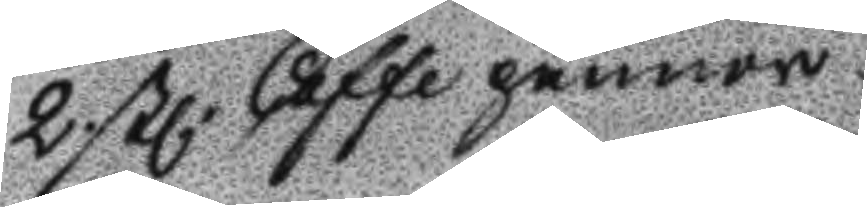2 stl Caffepannor
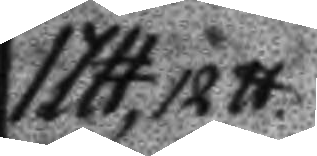1 Ltt, 12 tt
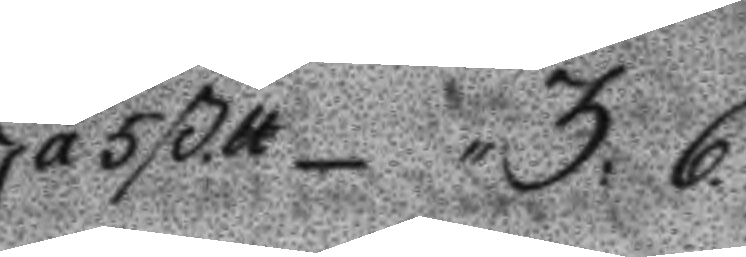á 5 ß.tt 3:6.
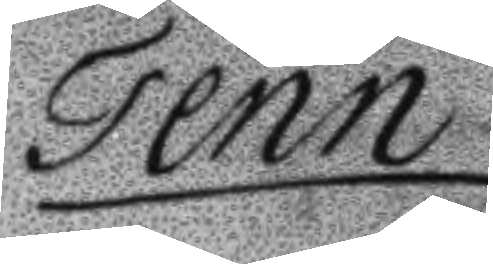Tenn
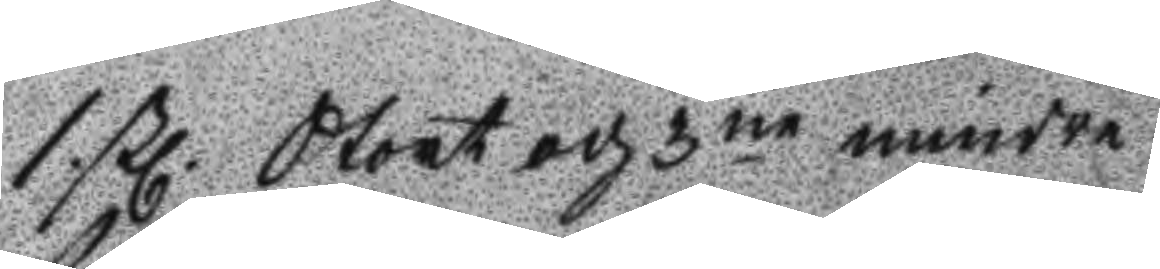1 stl Stort och 3ne mindre
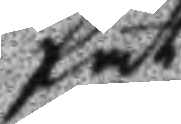fat
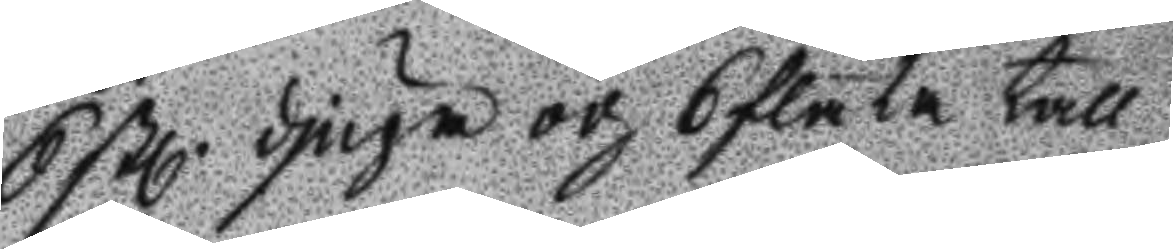6 stl djupa och 6 flata tall¬
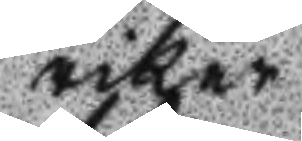rikar
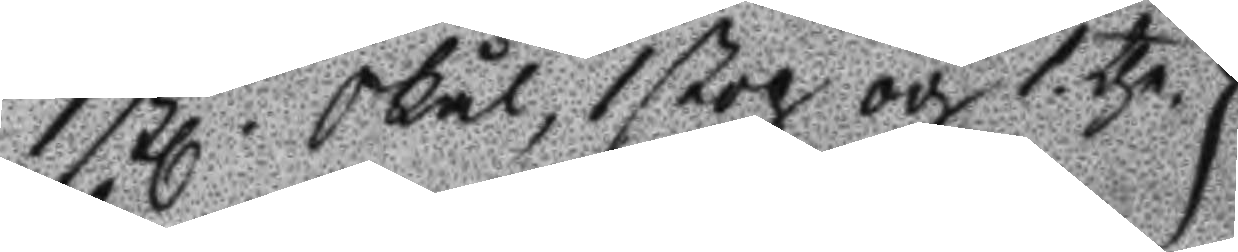1 stl Skål, 1 stop och 1 the¬
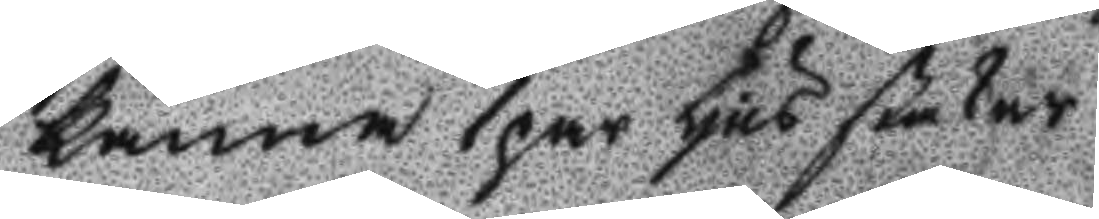kanna 1 par ljus stakar
